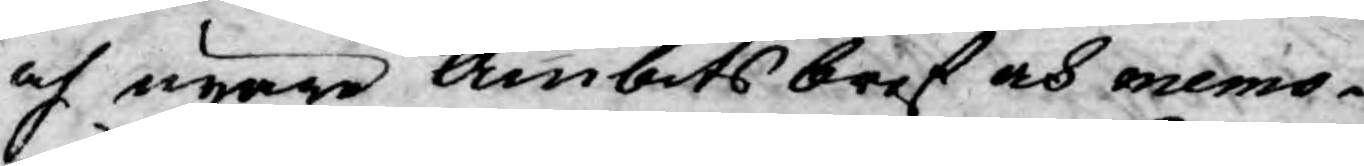och nyare Ämbets bref och memo¬
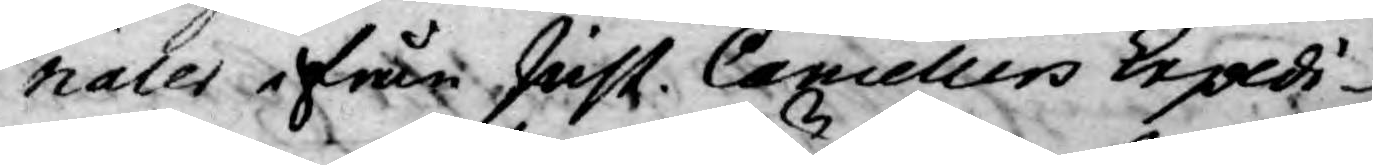rialer ifrån Just. Cancellers Expedi¬
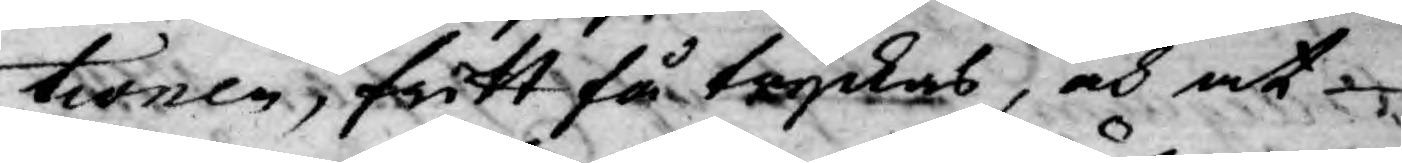tionen, fritt få tryckas, och at
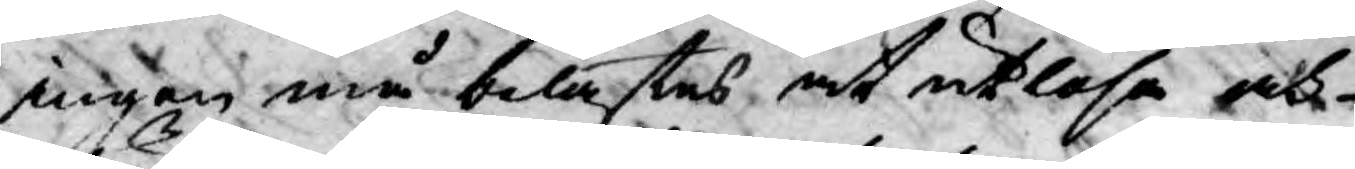ingen må belastes, at utlösa och
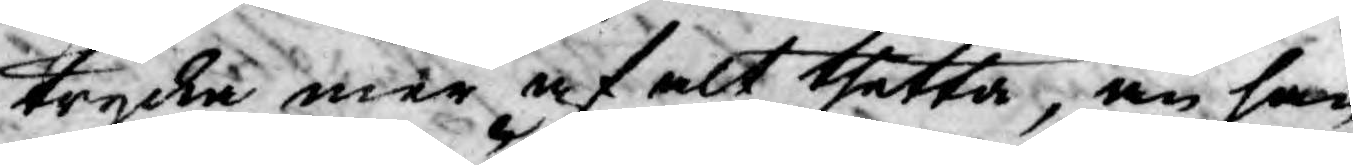trycka mer af alt thetta, än som
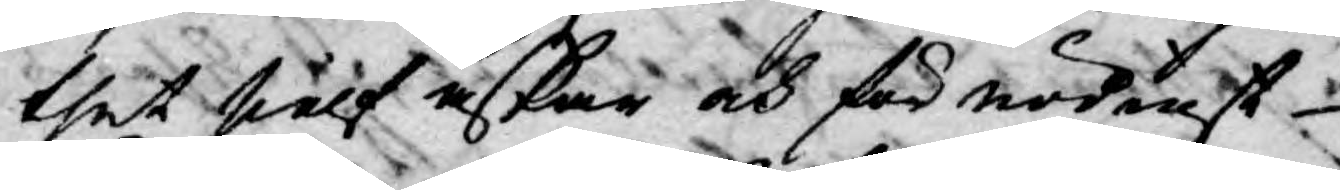thet siälf äskar och för nödigt
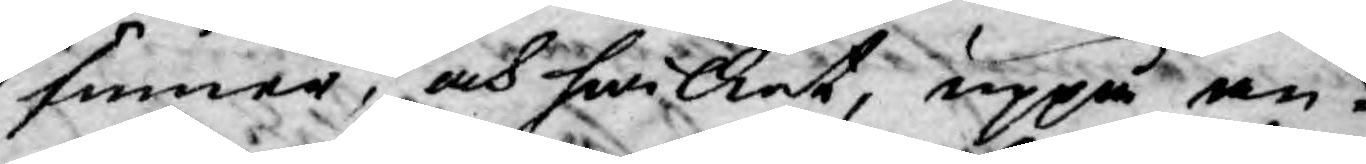finner, och hwilket, uppå an¬
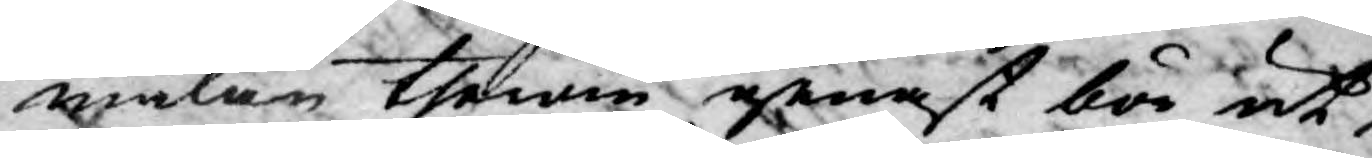mälan therom genast bör ut¬
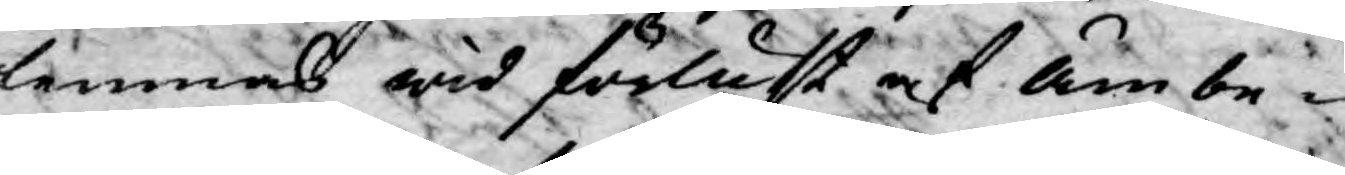lemnas wid förlust af Ämbe¬
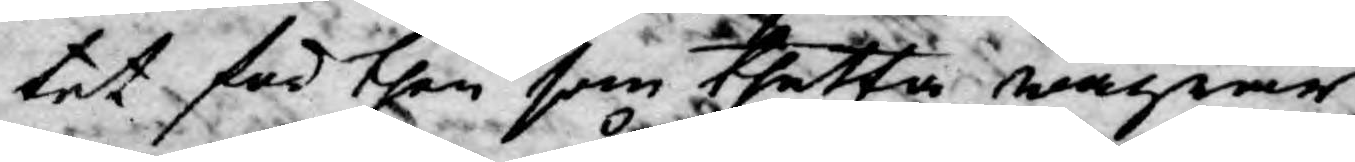tet för then som thetta wägrar,
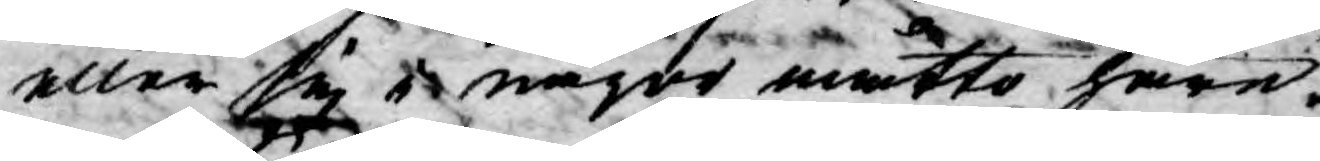eller sig i någre måtto huru
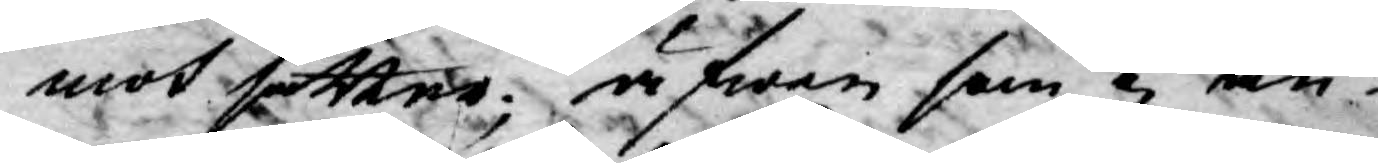mot sätter; äfwen som ej an¬
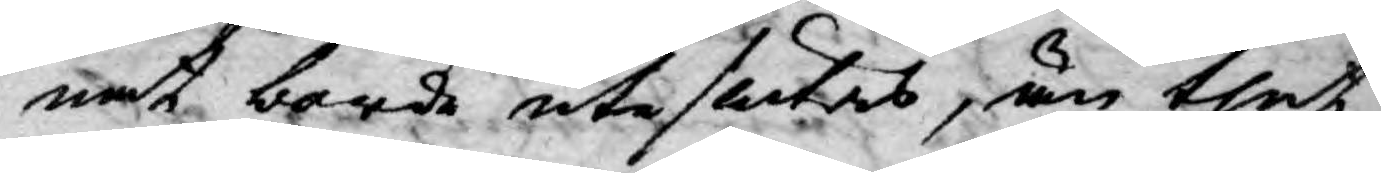nat borde uteslutas, än thet
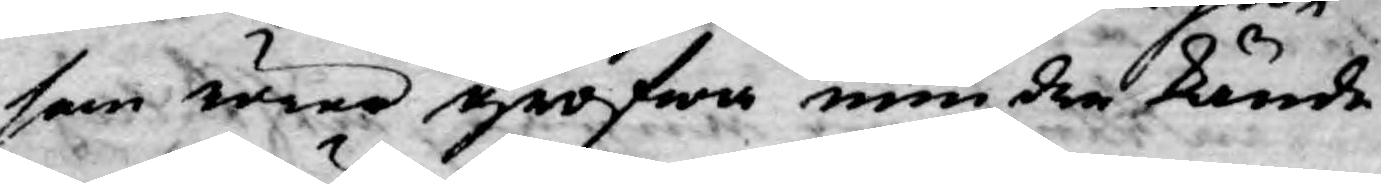som ärne grofwa mindre kände
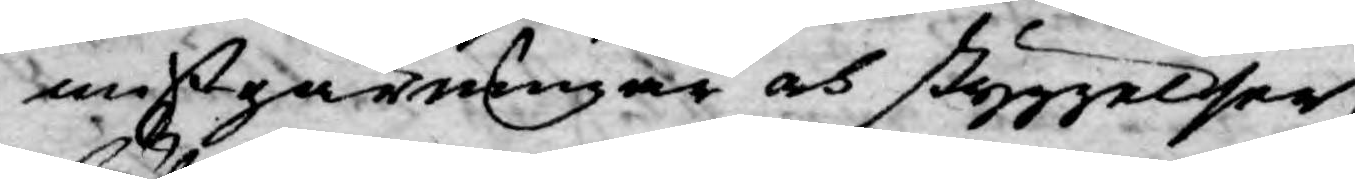mißgärningar och styggelser,
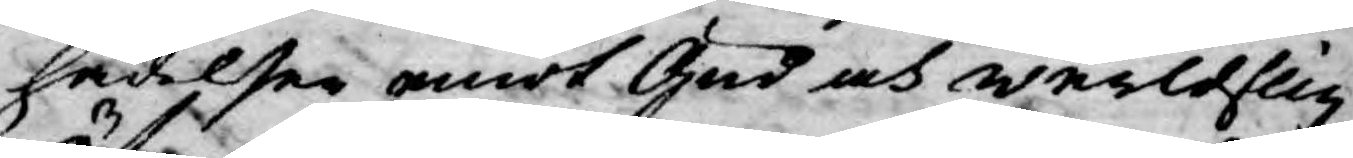hädelser emot Gud och werldslig
